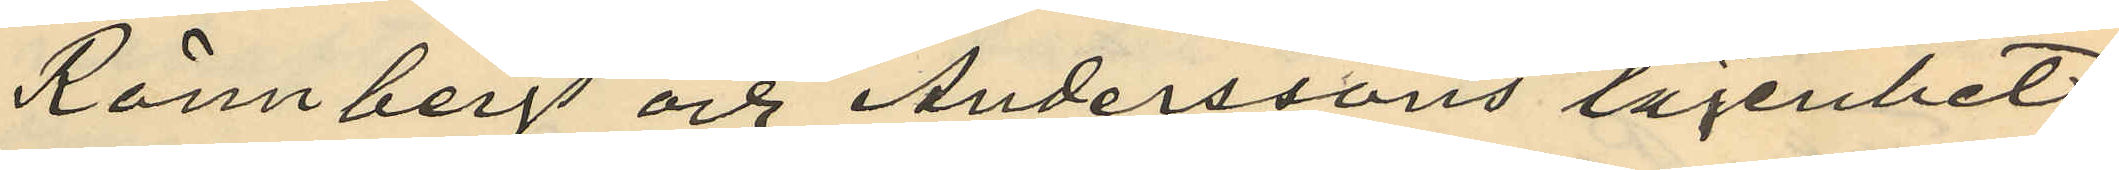Rönnbergs och Anderssons lägenhet
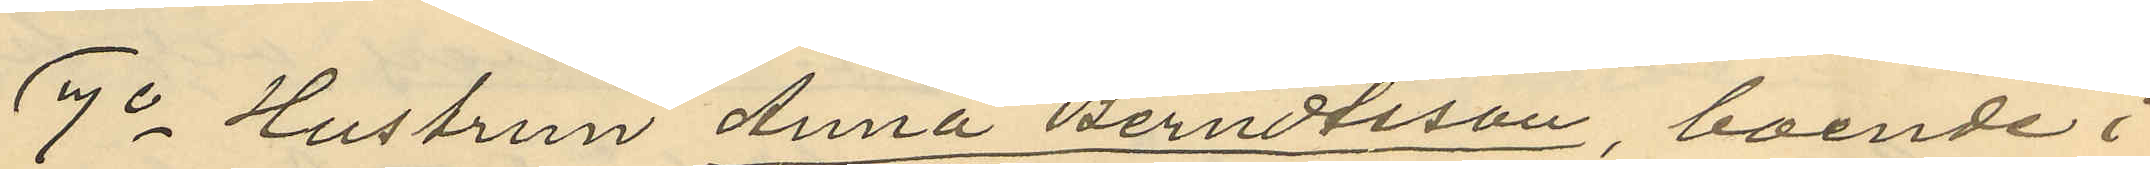7o Hustrun Anna Berndtsson, boende i
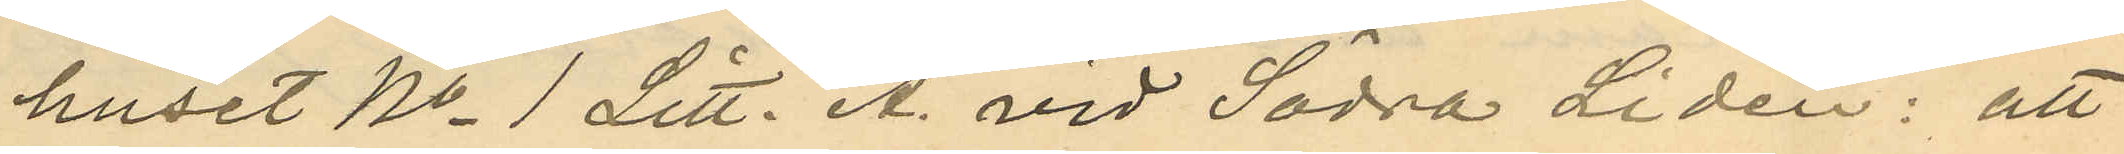huset No 1 Litt. A. vid Södra Lidén: att
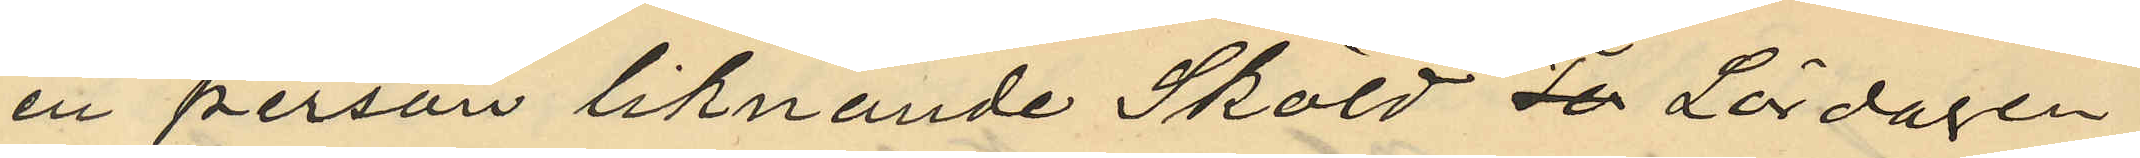en person liknande Sköld To Lördagen
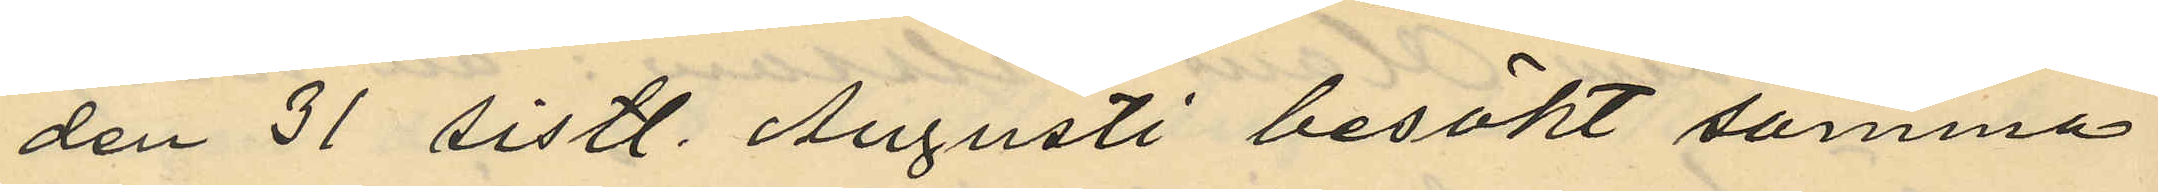den 31 sistl. Augusti besökt samma
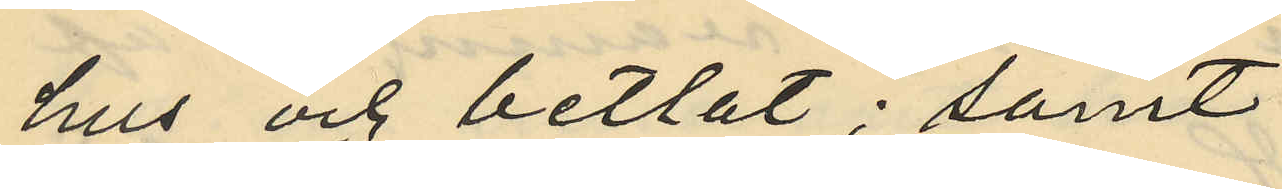hus och betlat; samt
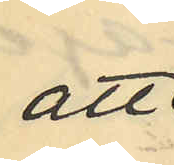att
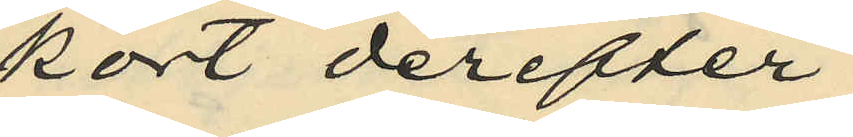kort derefter
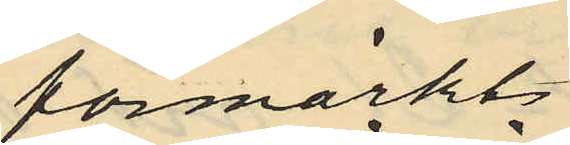förmärkte
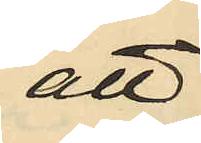att
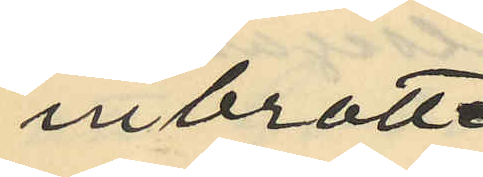inbrott
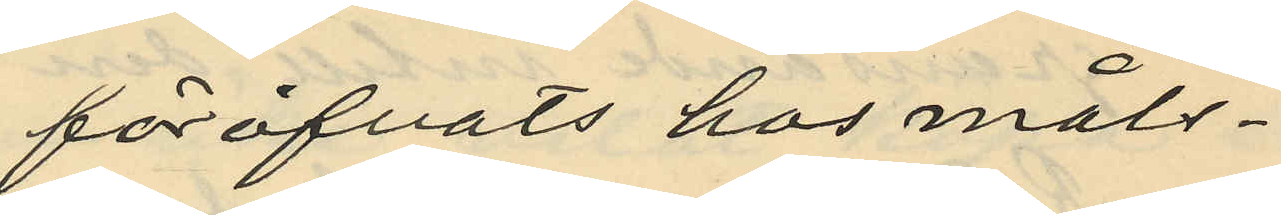föröfvats hos måls¬
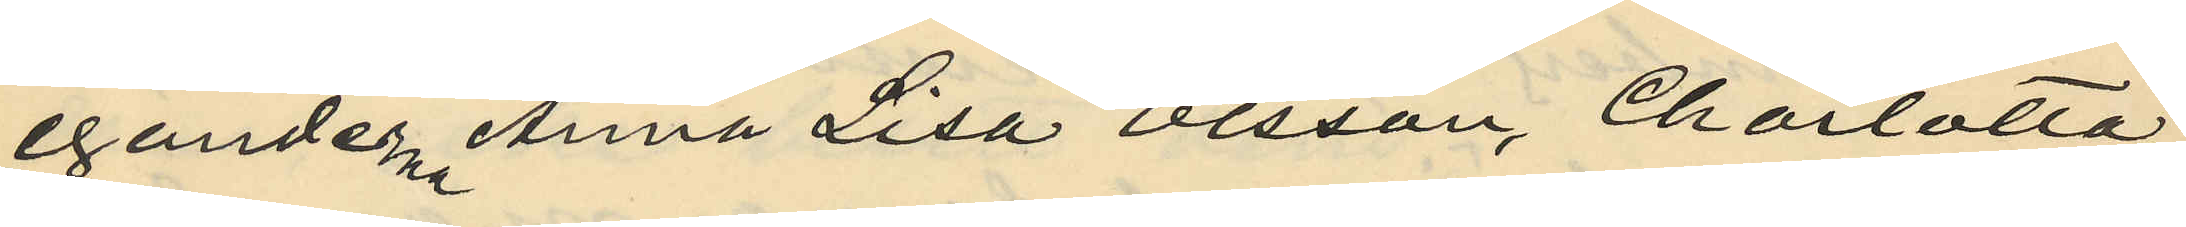egander Anna Lisa Olsson, Charlotta
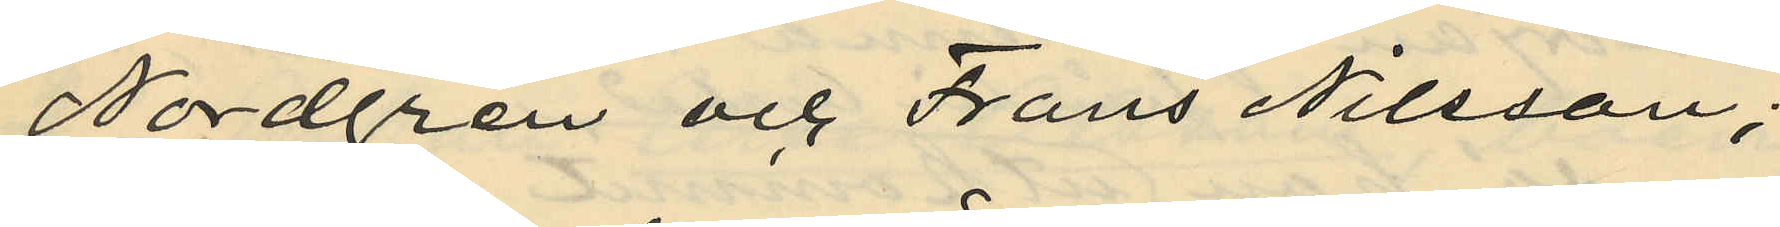Nordgren och Frans Nilsson;
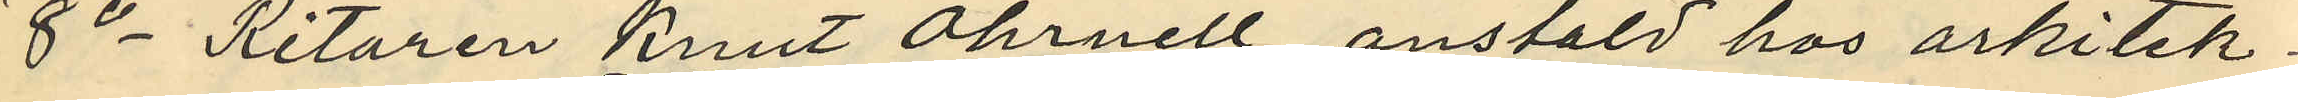8o Ritaren Knut Öhrnell, anstäld hos arkitek¬
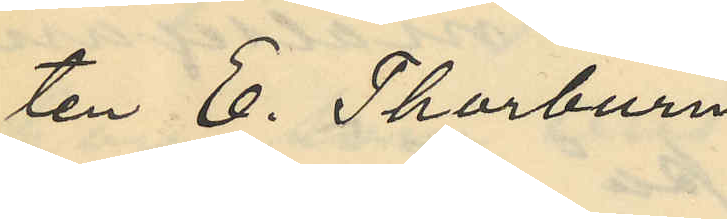ten E. Thorburn
